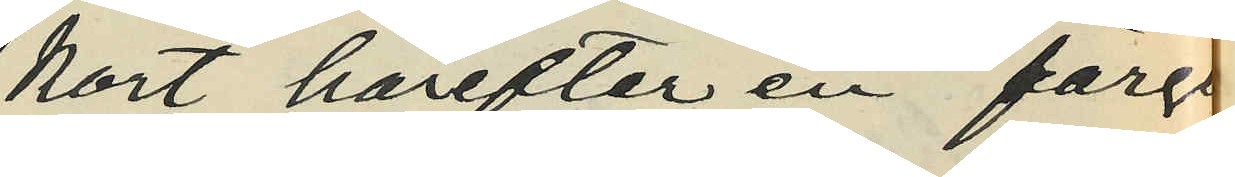kort härefter en färgeri¬
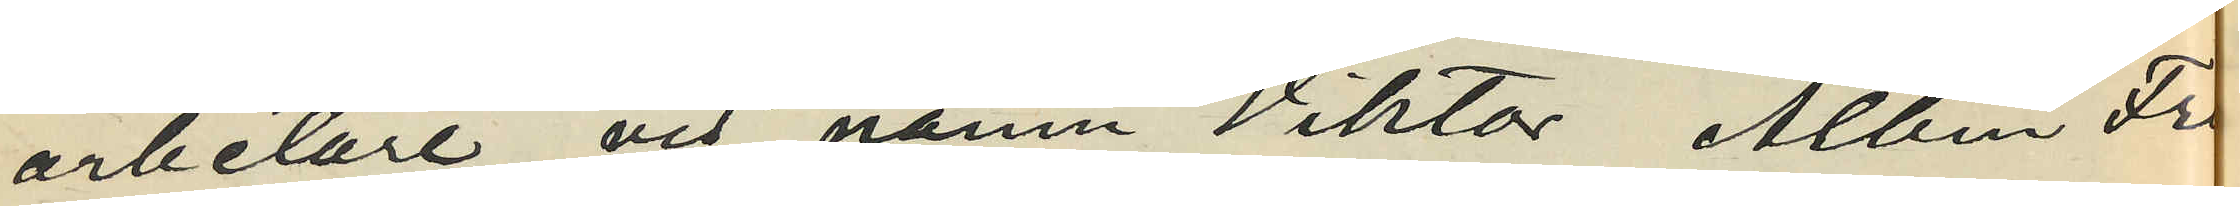arbetare vid namn Viktor, Albin Fri¬
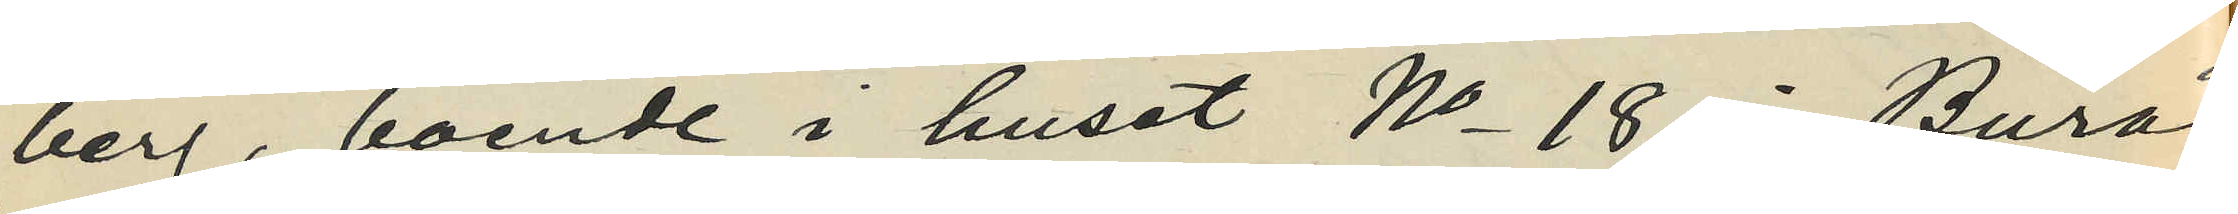berg, boende i huset No 18 i Burås
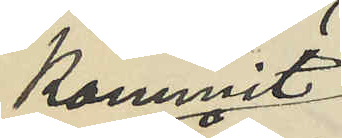kommit
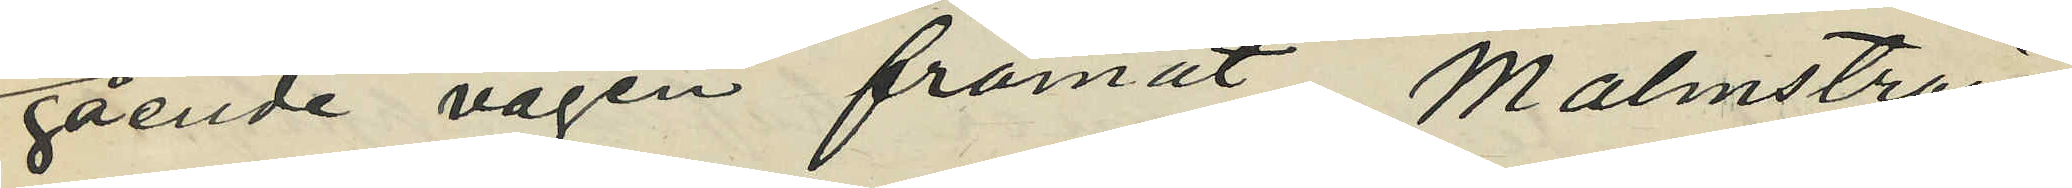gående vägen framåt, Malmström
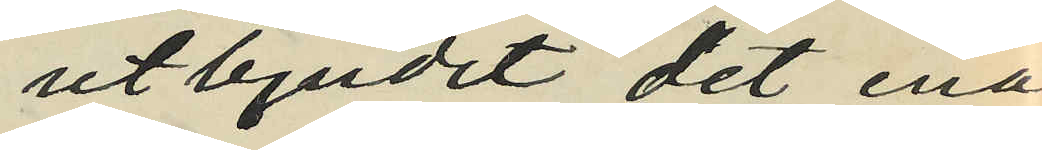utbjudit det ena
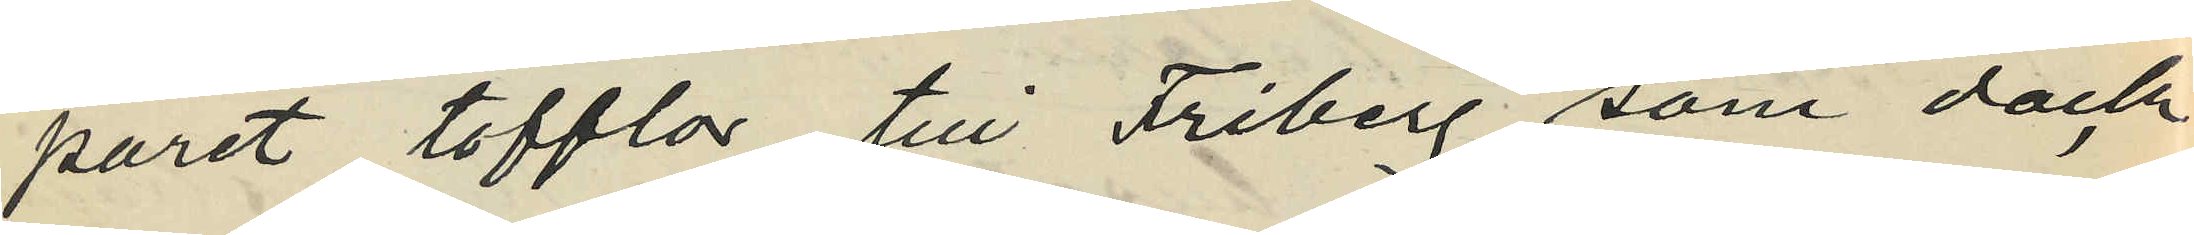paret tofflor till Friberg som dock
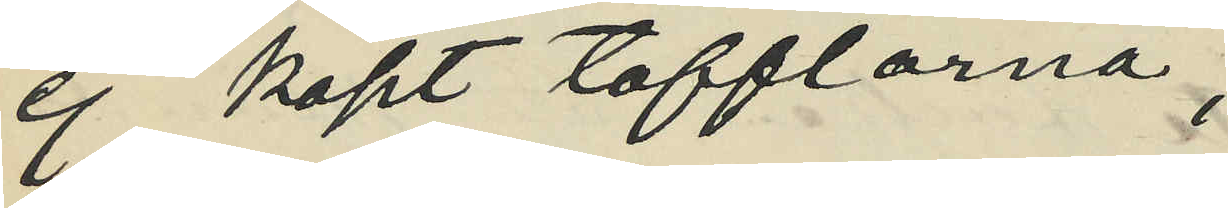ej köpt tofflarna;
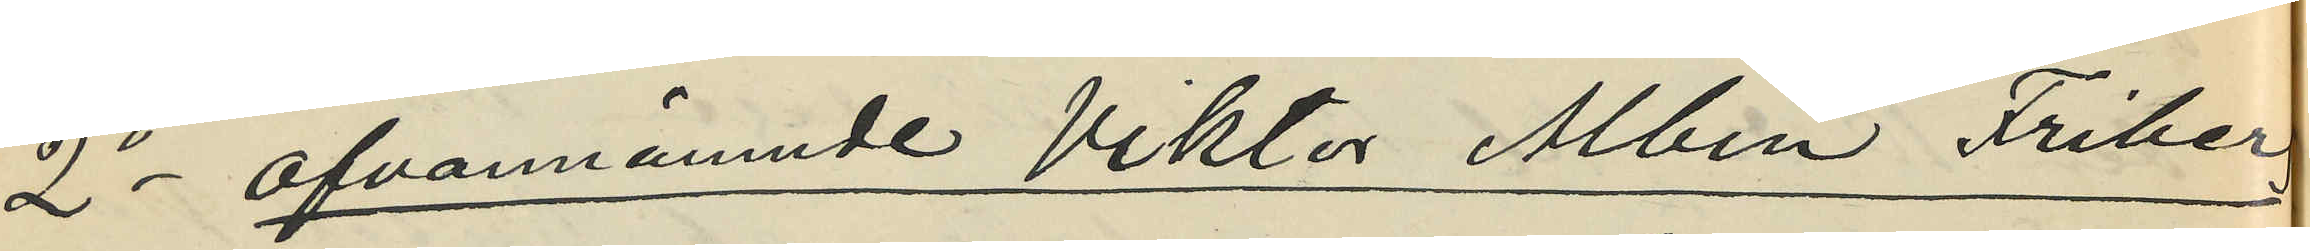2o ofvannämnde Viktor Albin Friberg
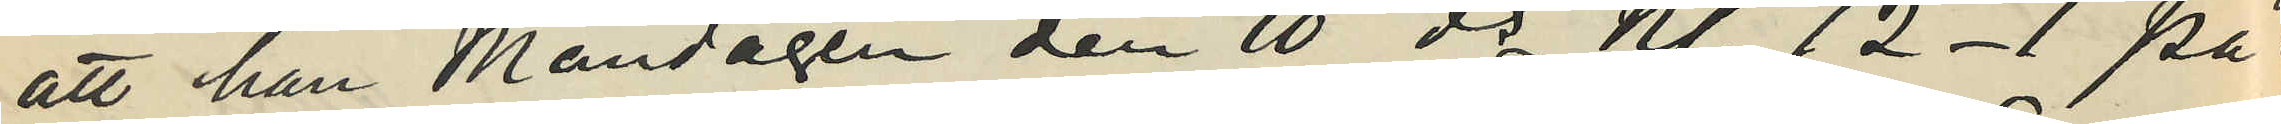att han Måndagen den 10 ds Kl. 12-1 på da¬
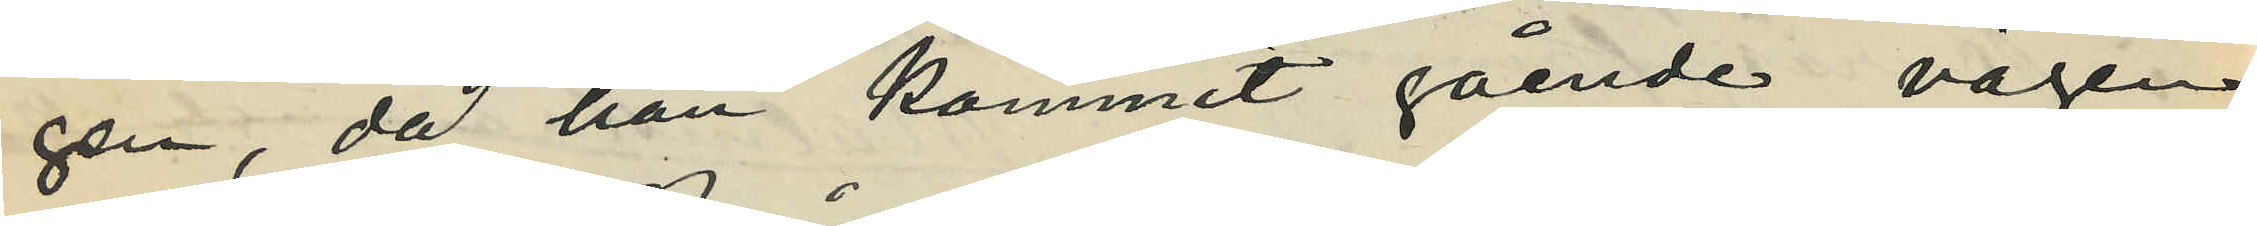gen, då han kommit gående vägen
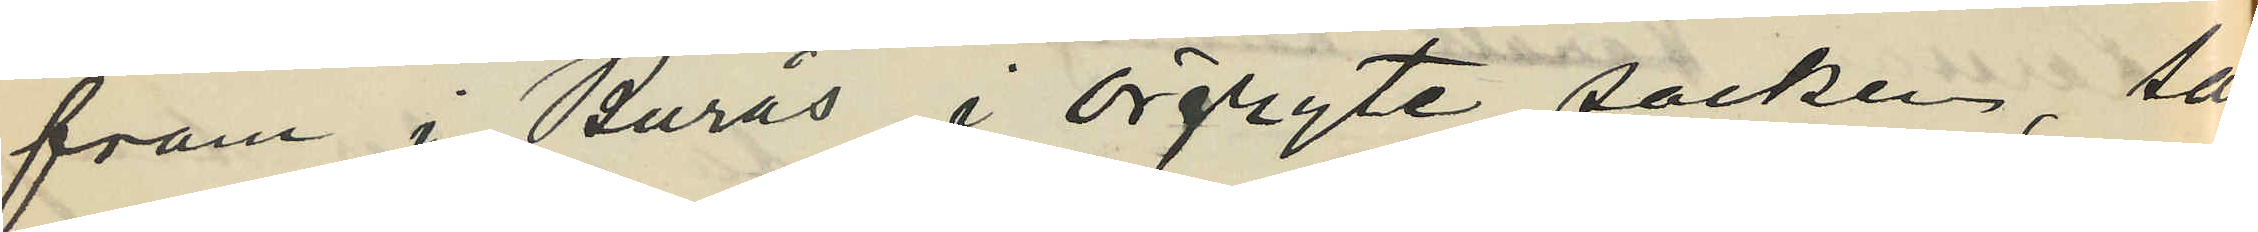fram i Burås i Örgryte socken sam¬
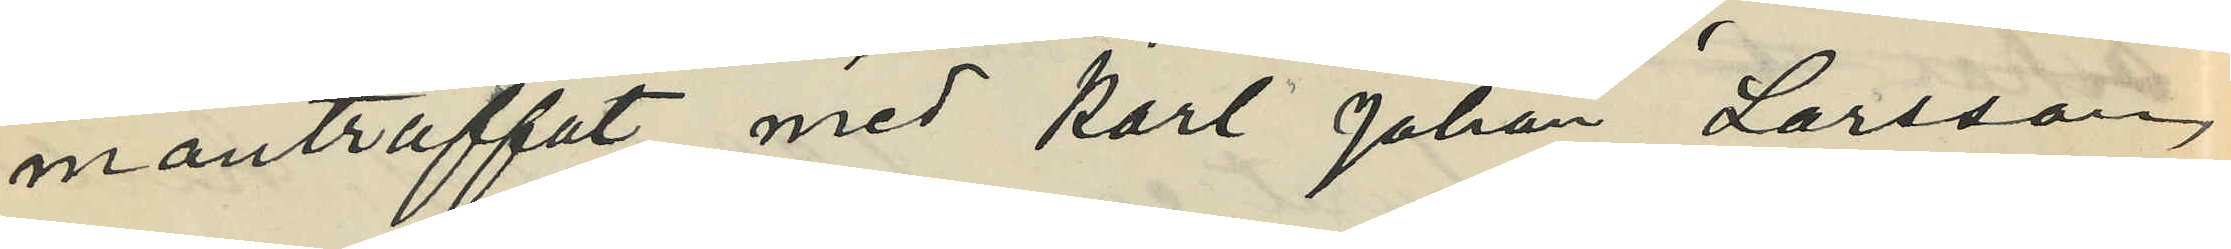manträffat med Karl Johan Larsson,
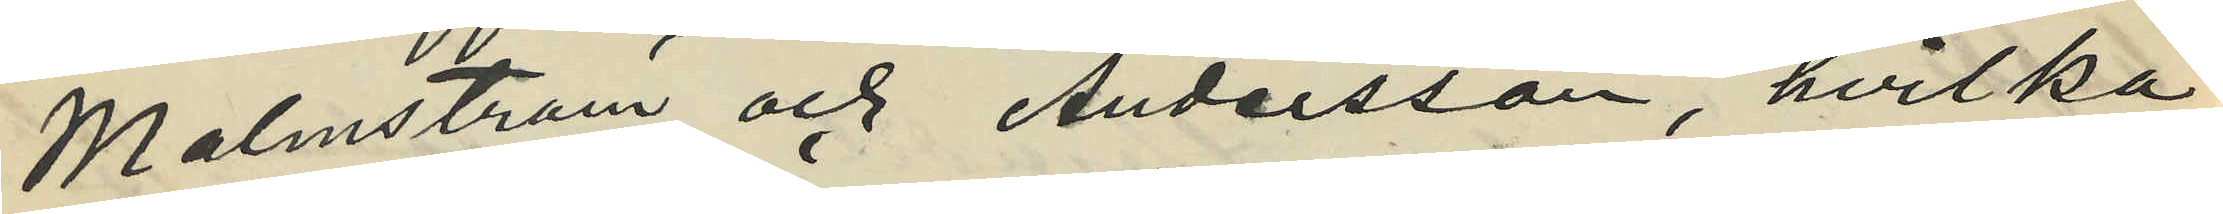Malmström och Andersson, hvilka
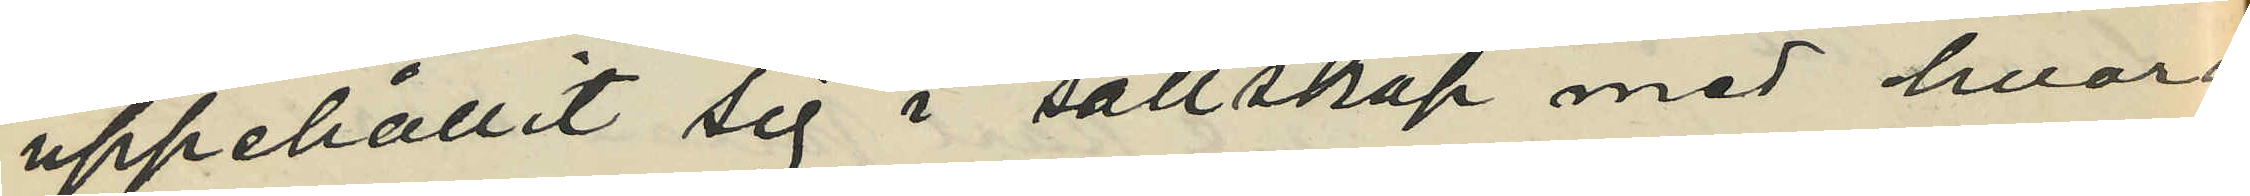uppehållit sig i sällskap med hvarann
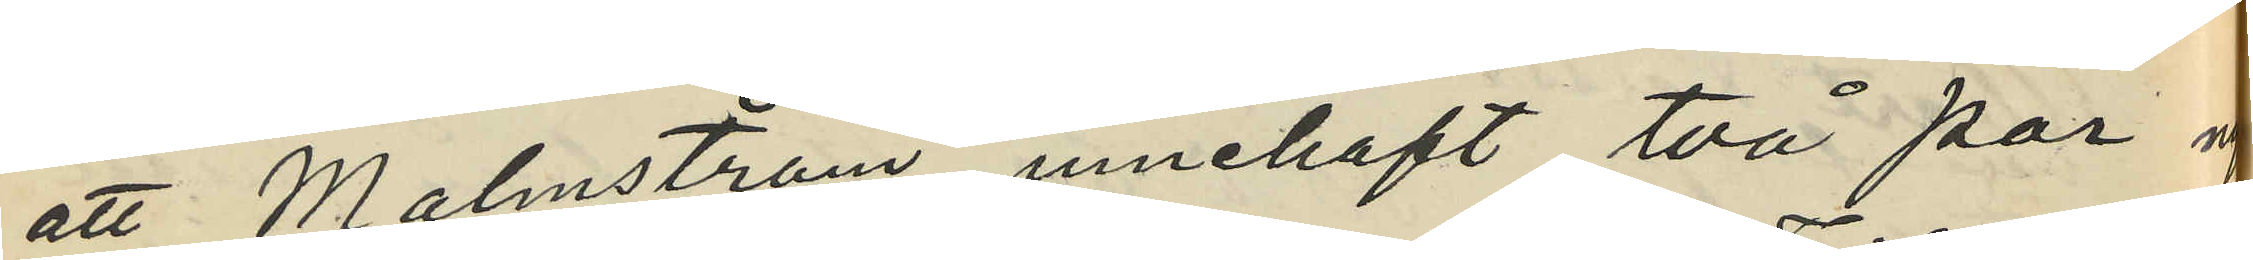att Malmström innehaft två par nya
